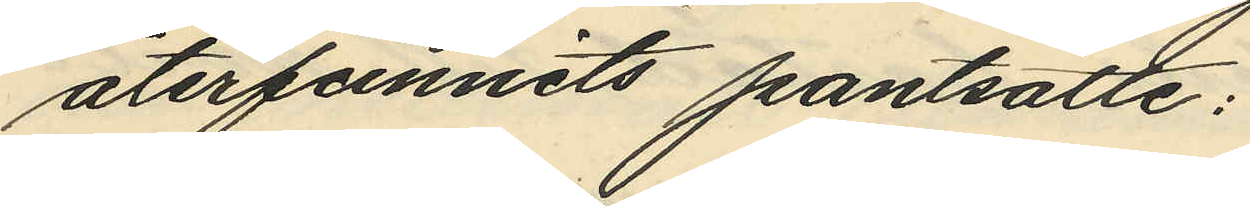återfunnits pantsatte:
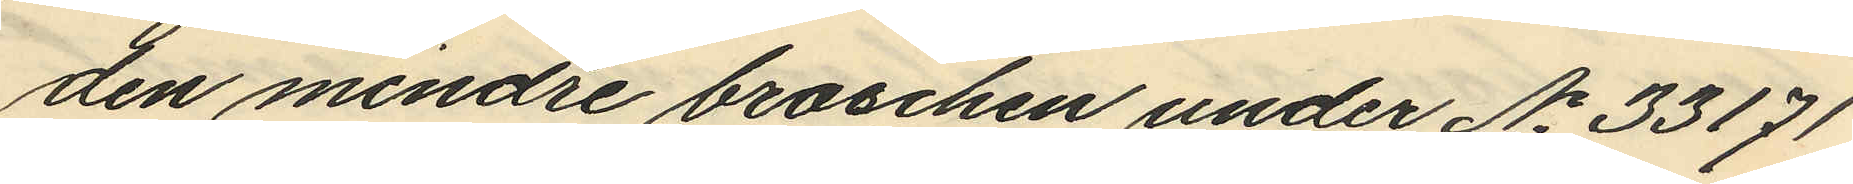den mindre broschen under No 33171
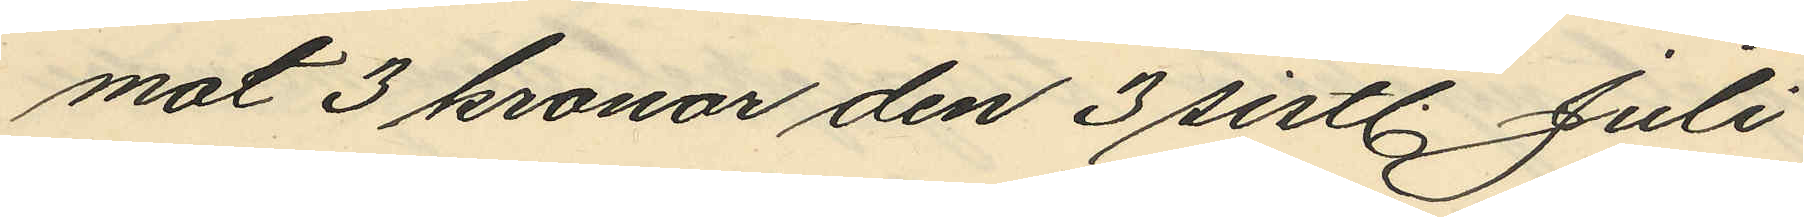mot 3 kronor den 3 sistl. Juli
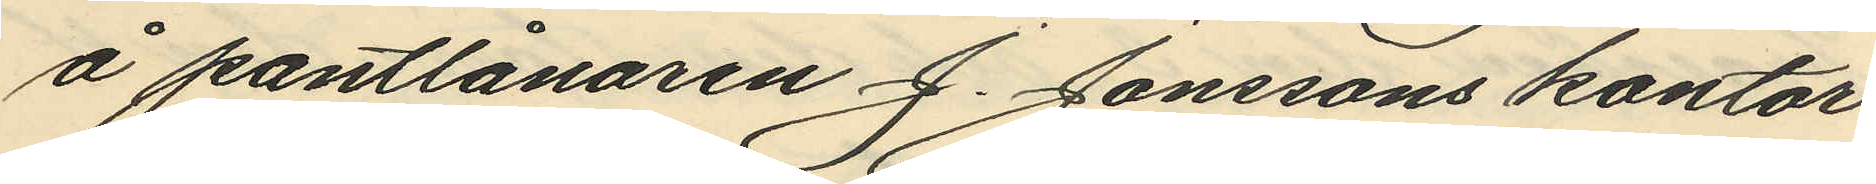å pantlånaren J. Jonssons kontor
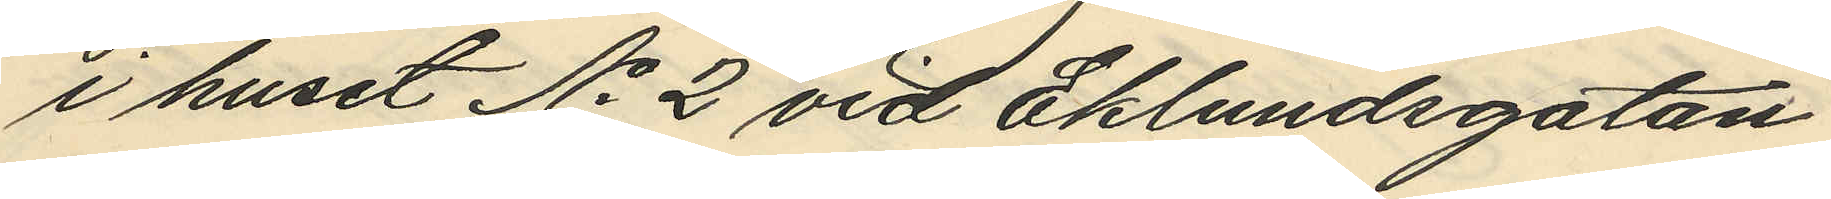i huset No 2 vid Eklundsgatan
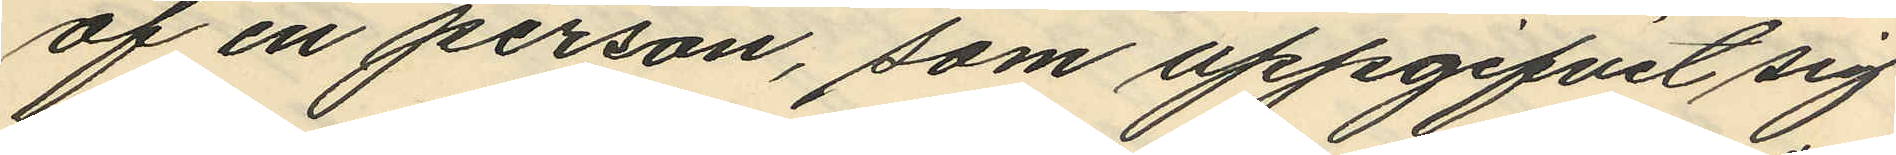af en person, som uppgifvit sig
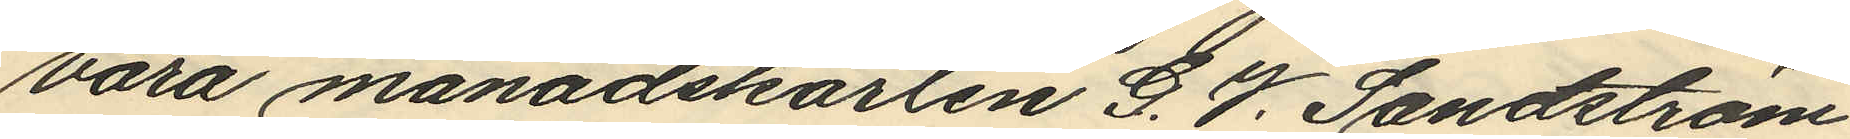vara månadskarlen G. V. Sandström
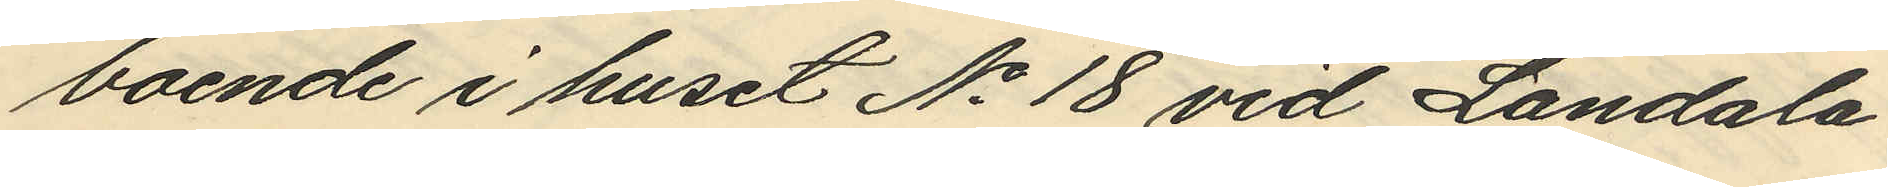boende i huset No 18 vid Landala
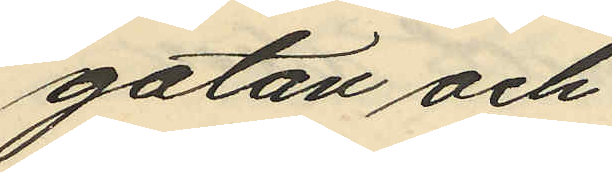gatan och
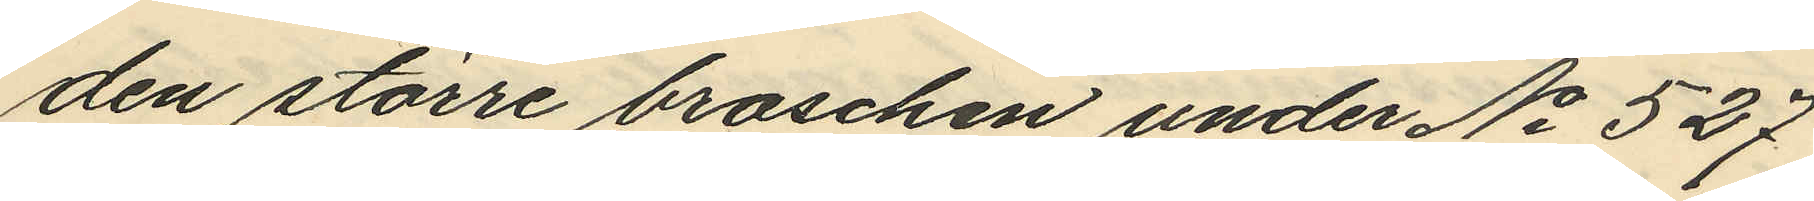den större broschen under No 527
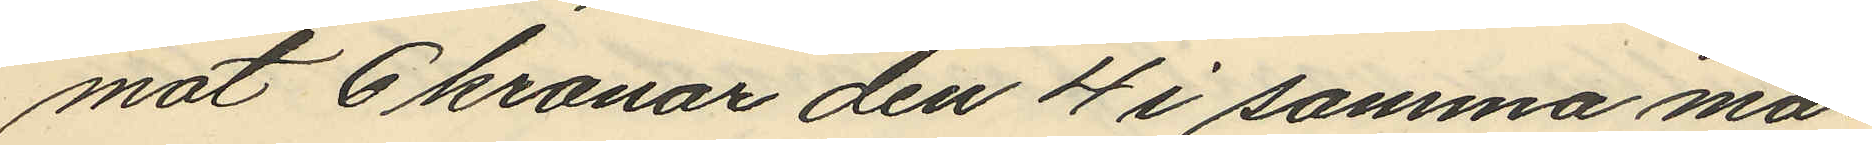mot 6 kronor den 4 i samma må¬
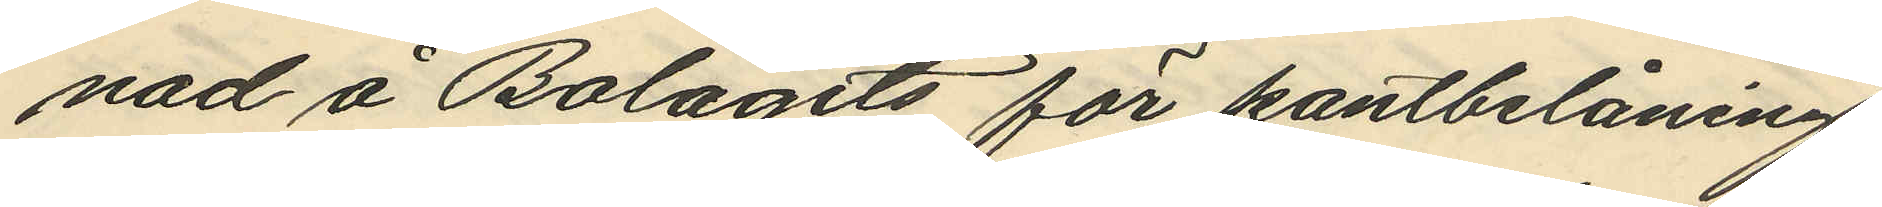nad å Bolagets för pantbelåning
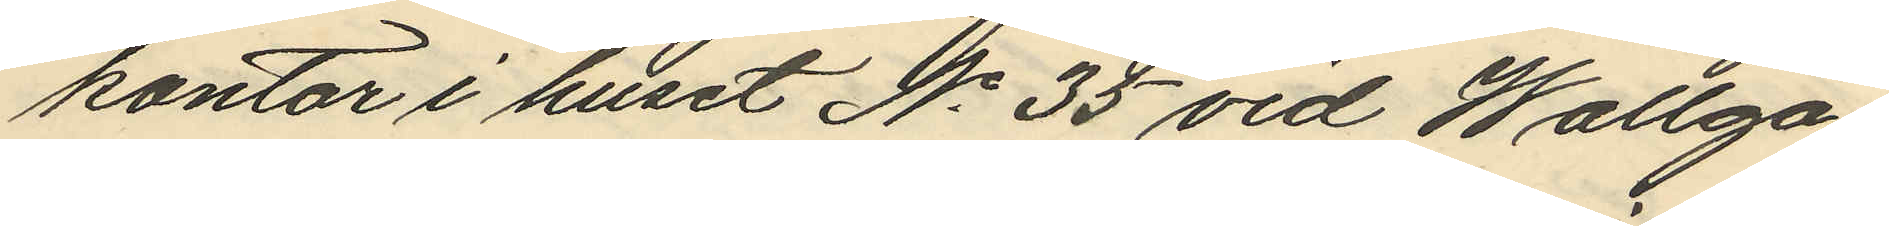kontor i huset No 35 vid Wallga¬
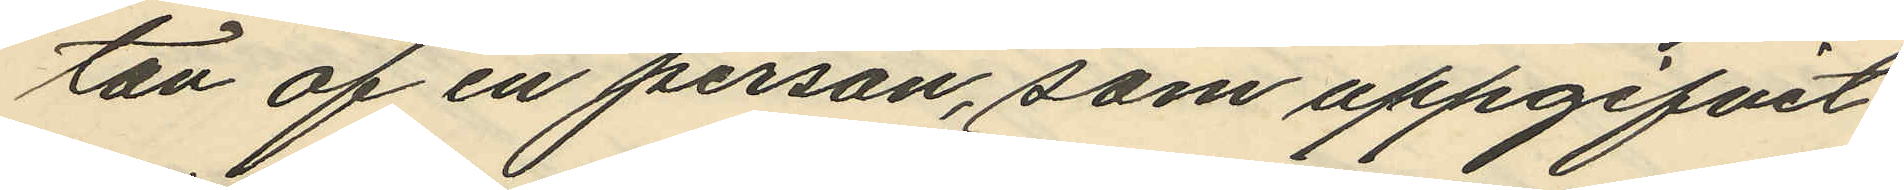tan af en person, som uppgifvit
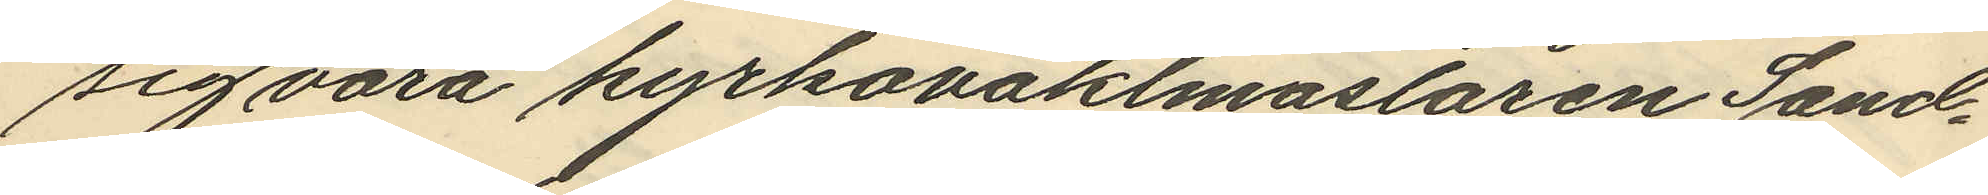sig vara kyrkovaktmastaren Sand¬
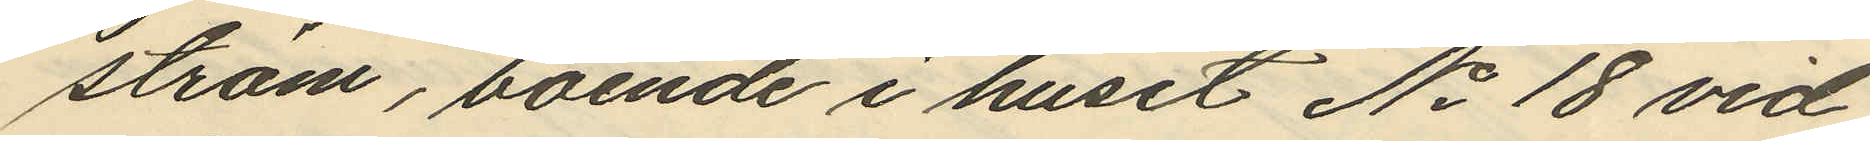ström, boende i huset No 18 vid
